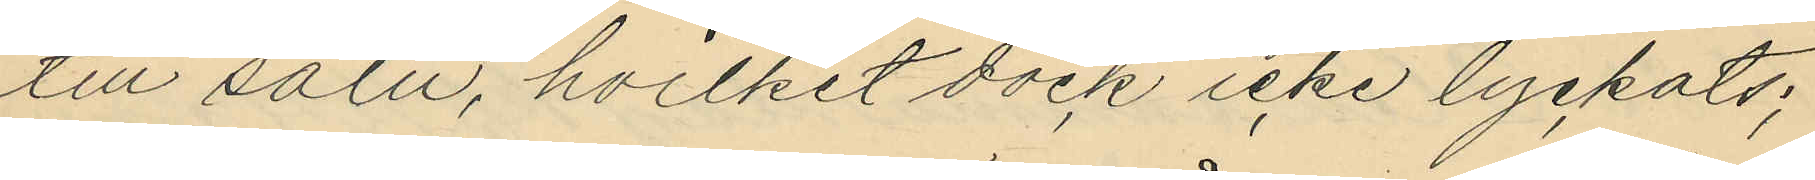till salu, hvilket dock icke lyckats;
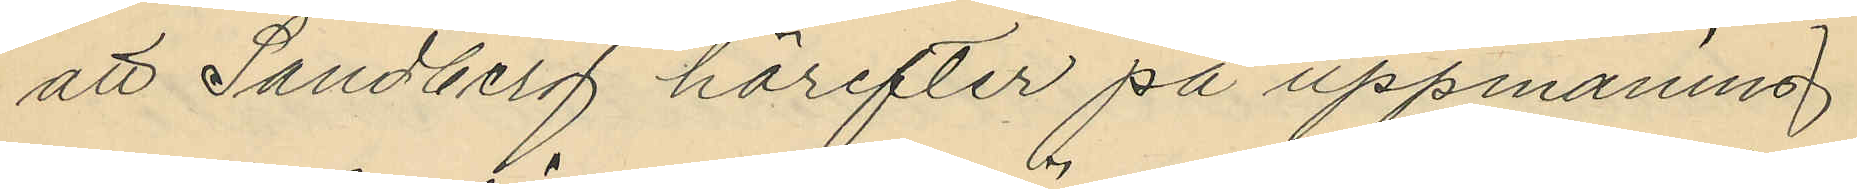att Sandberg härefter på uppmaning
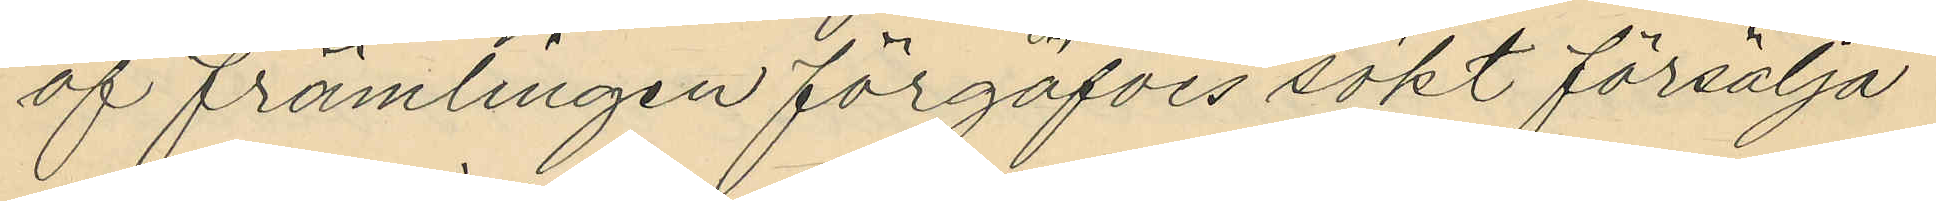af främlingen förgäfves sökt försälja
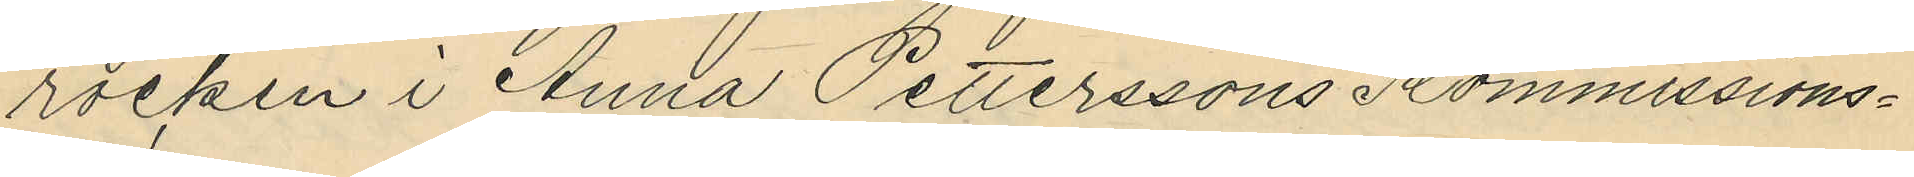rocken i Anna Petterssons Kommissions¬
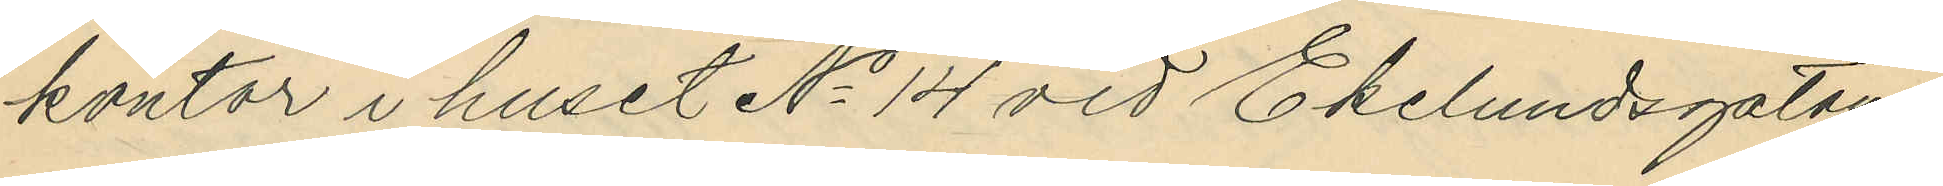kontor i huset No 14 vid Ekelundsgatan
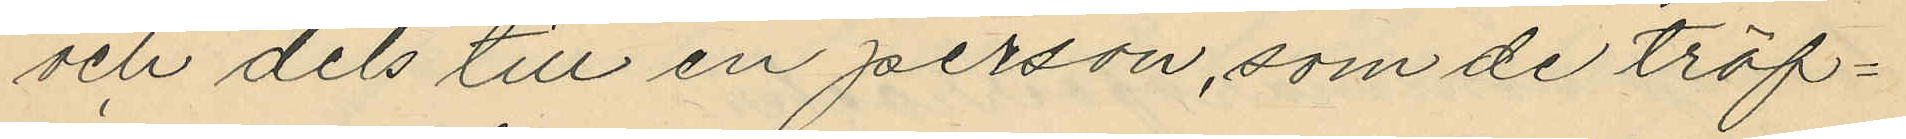och dels till en person, som de träf¬
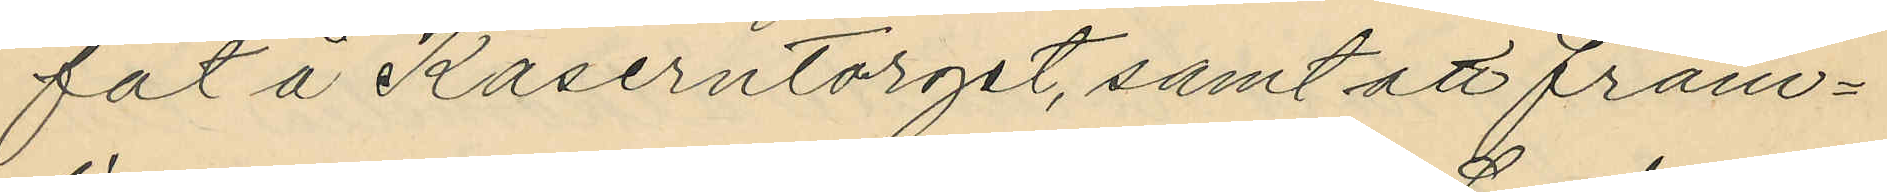fat å Kaserntorget, samt att fram¬
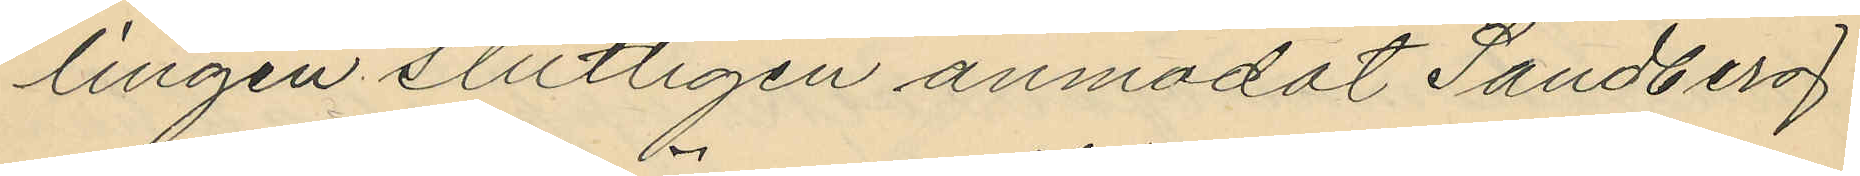lingen slutligen anmodat Sandberg
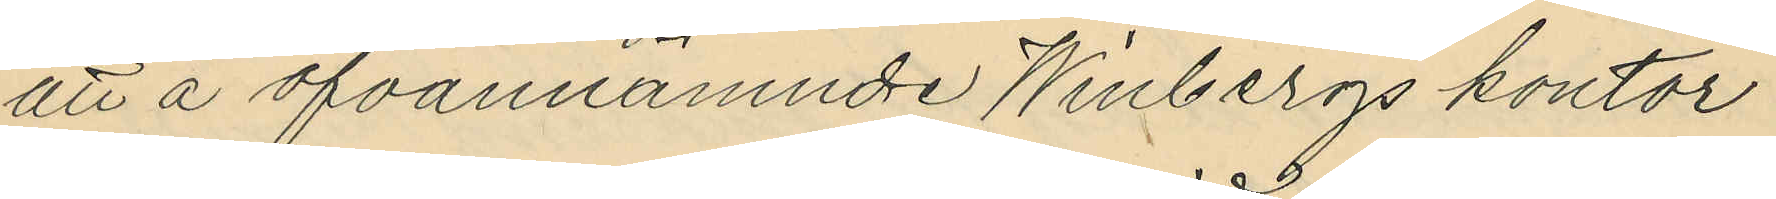att å ofvannämnde Winbergs kontor
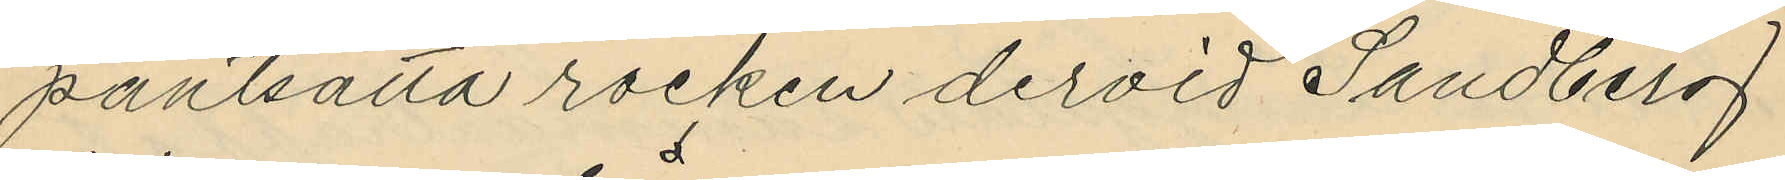pantsätta rocken dervid Sandberg
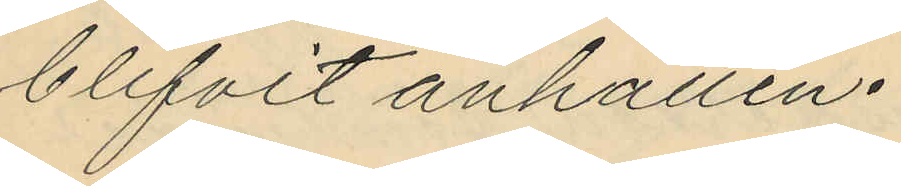blifvit anhållen.
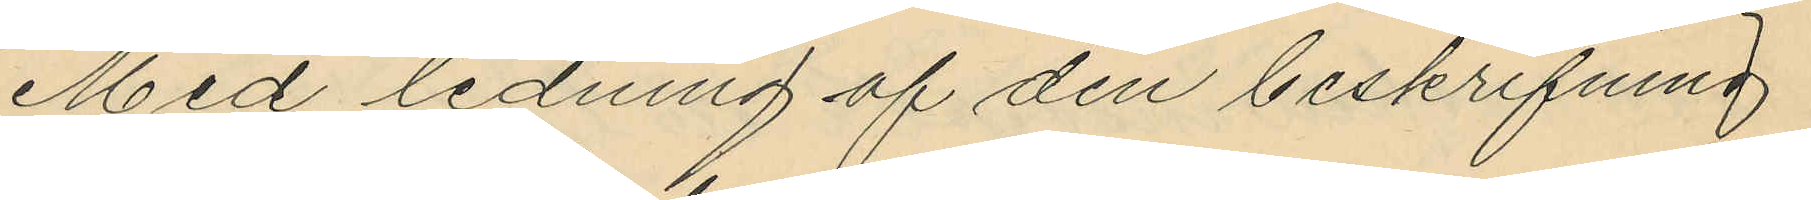Med ledning af den beskrifning
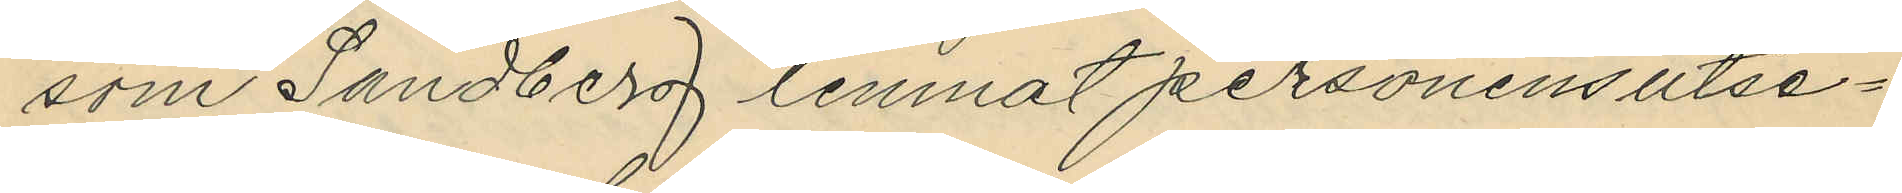som Sandberg lemnat personens utse¬
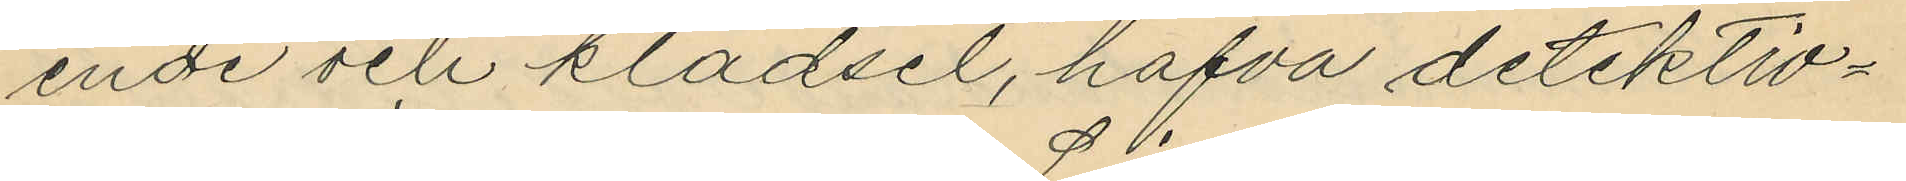ende och klädsel, hafva detektiv¬
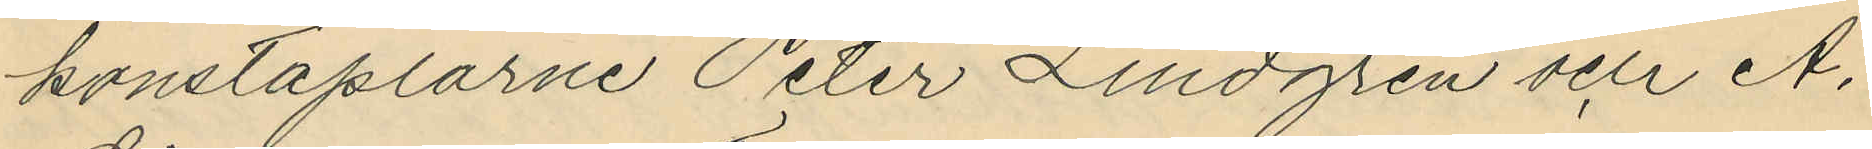konstaplarne Peter Lindgren och A.
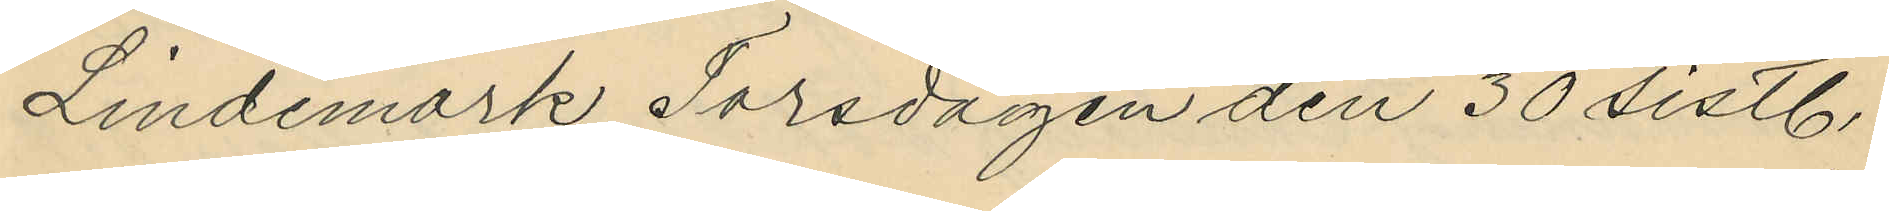Lindemark Torsdagen den 30 sistl.
